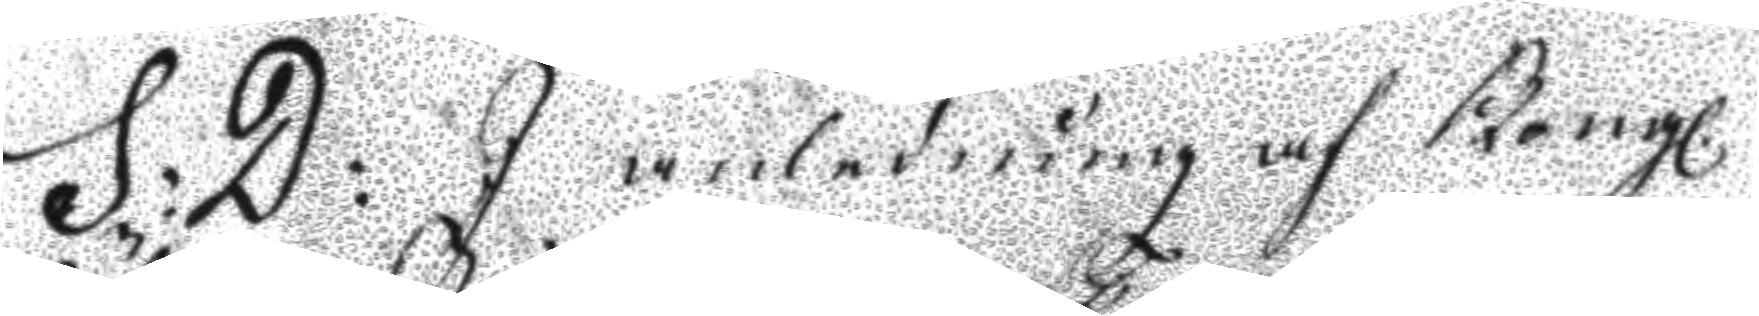S:D: I anledning af Kongl.
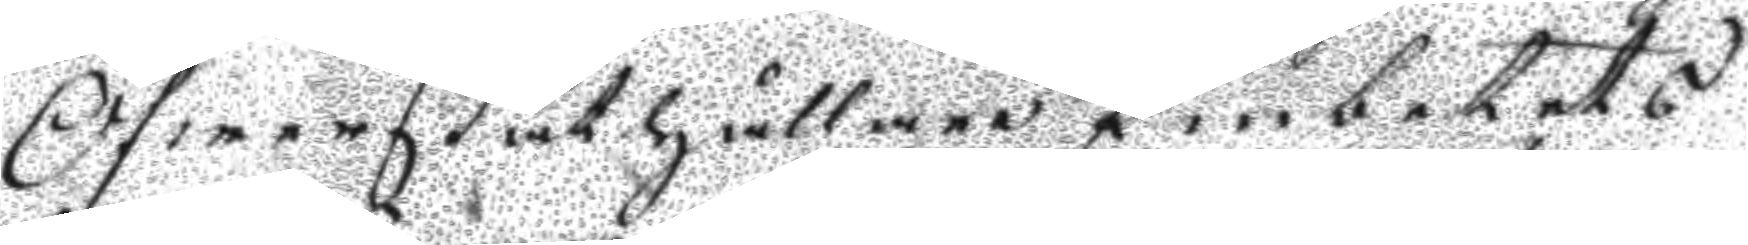Öfwerståthållare Embetets
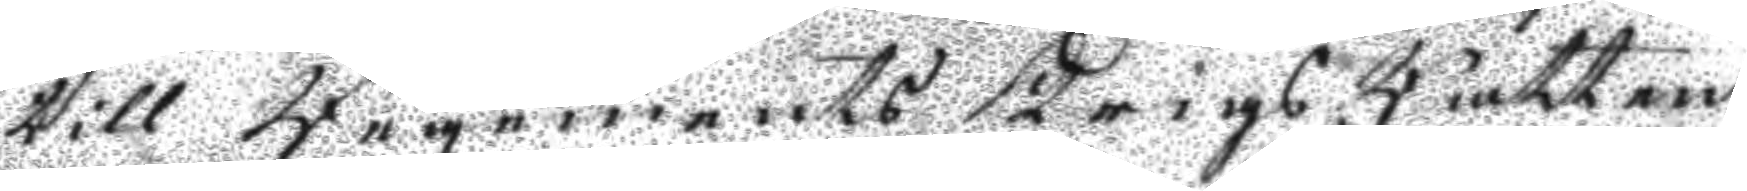till Regements Krigs Rätten
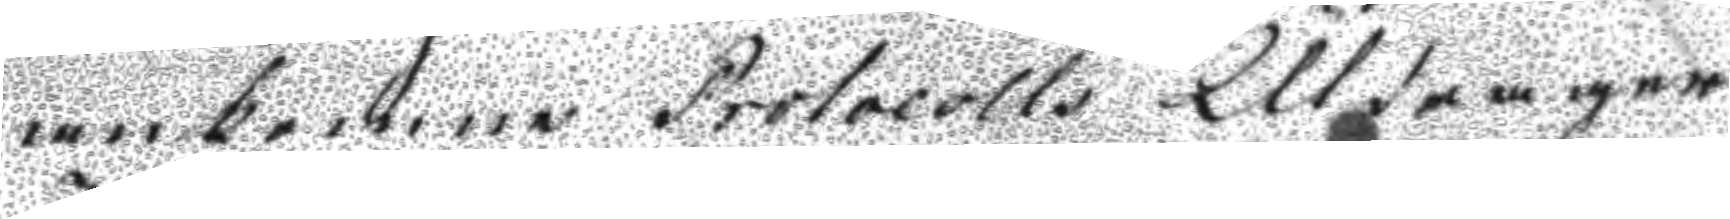ankomne Protocolls Utdrager
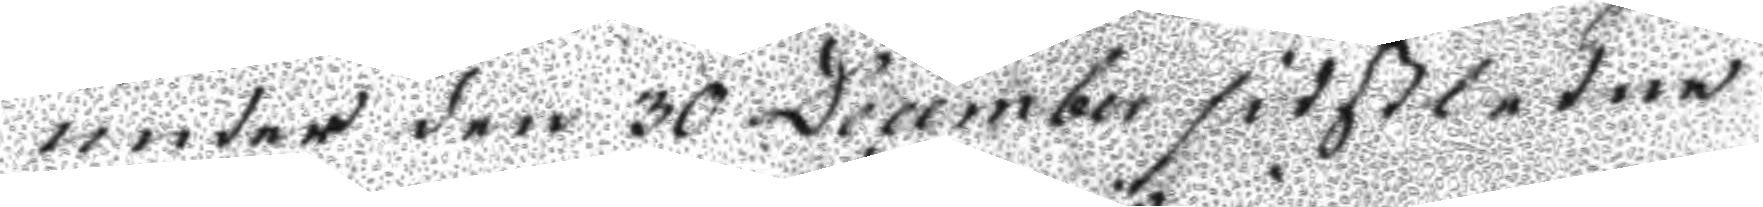under den 30 December sidtßledne
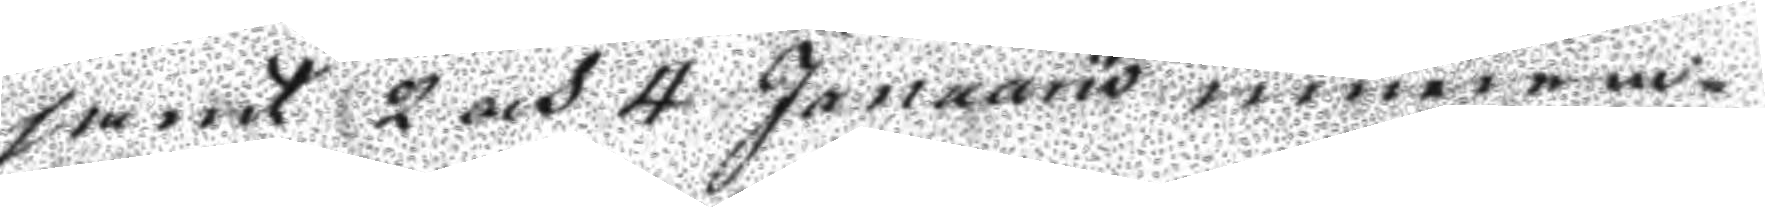samt 2 och 4 Januarii innewa¬
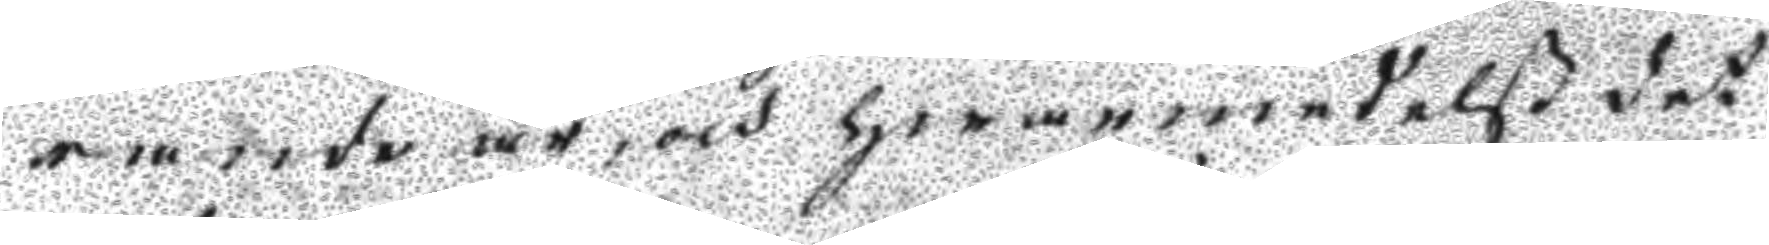rande år, och hwarmedelst det
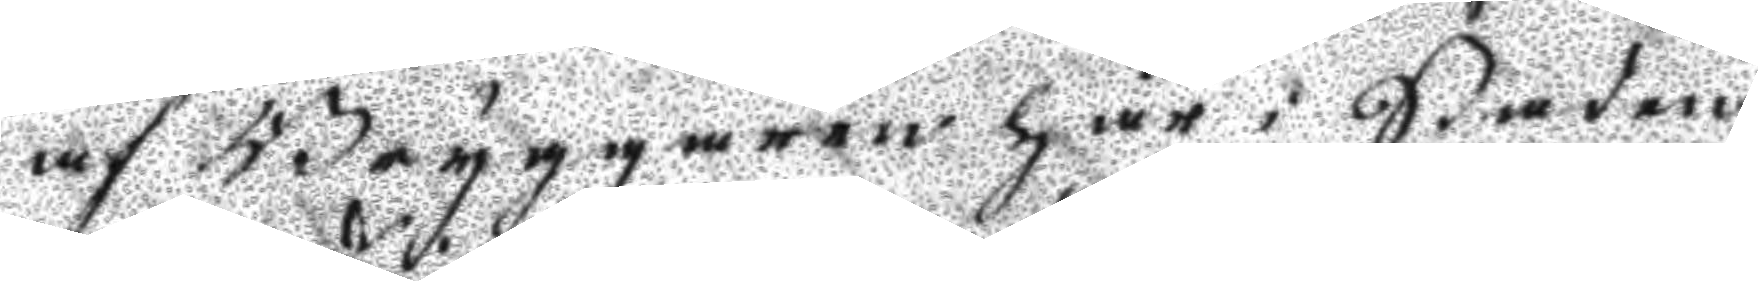af Bryggaren här i Staden
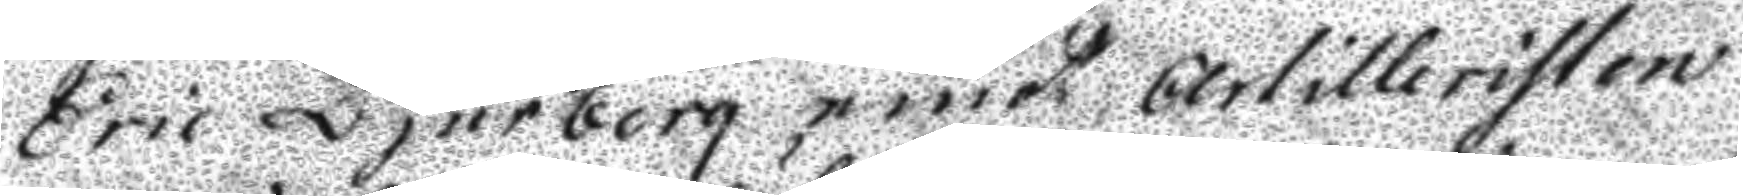Eric Djurberg emot Artilleristen
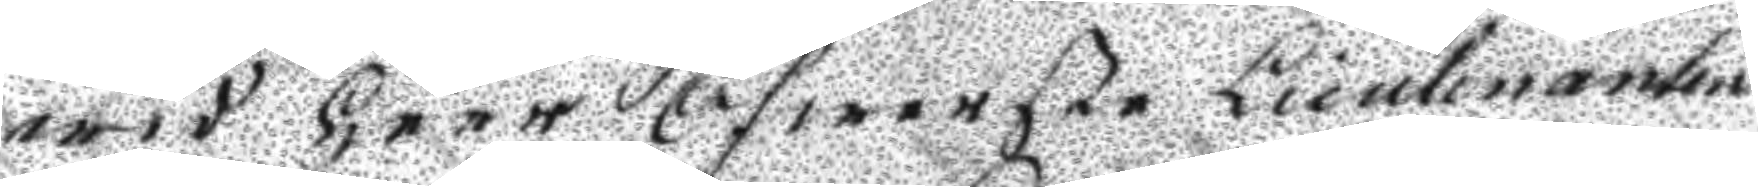wid Herr Öfwerste Lieutnanten
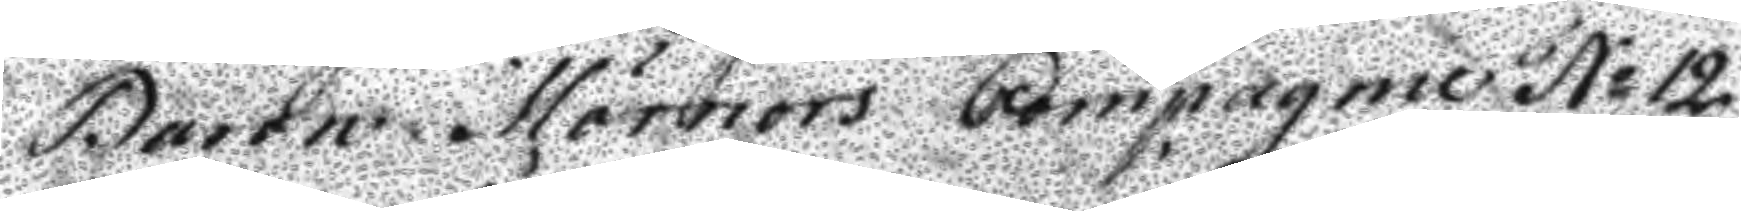Baron Mörners Compagnie N: 12
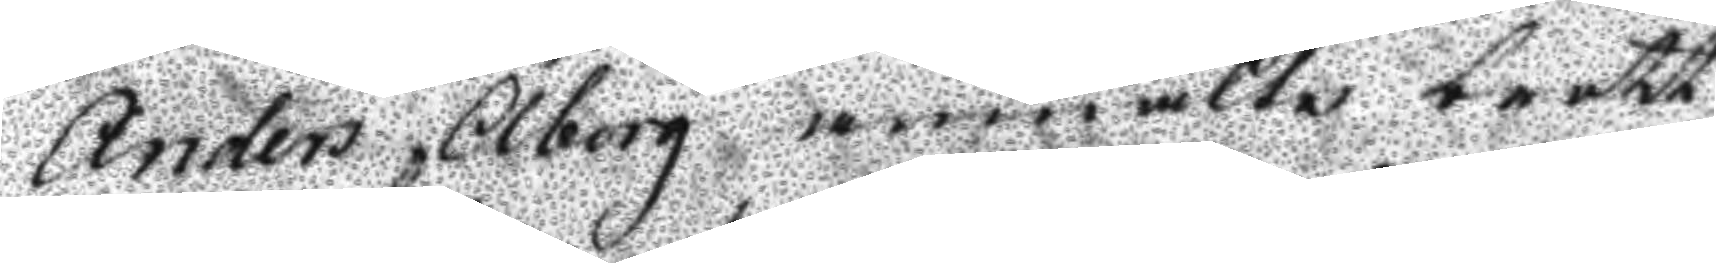nders Åborg anmältes brott
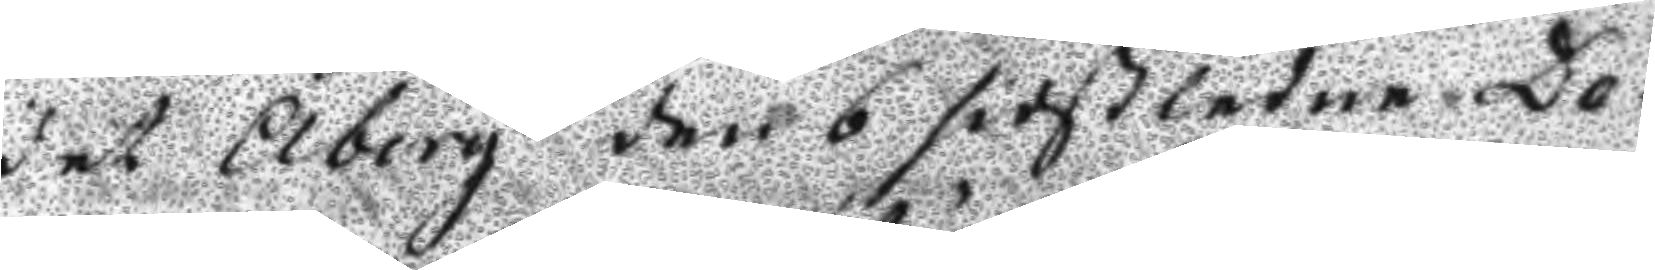det Åberg den 6 sistledne De¬ 
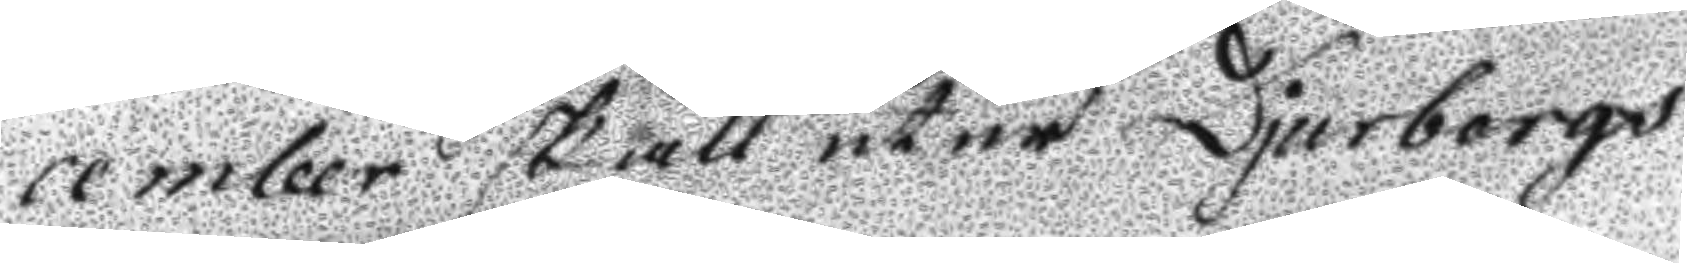cember skall utur Djurborgs
